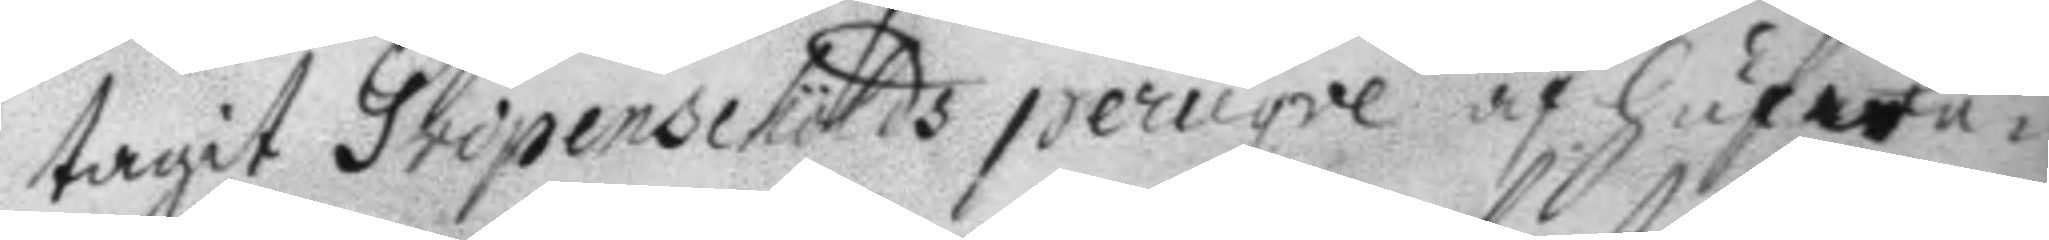tagit Gripenschölds peruqve af hufwu¬
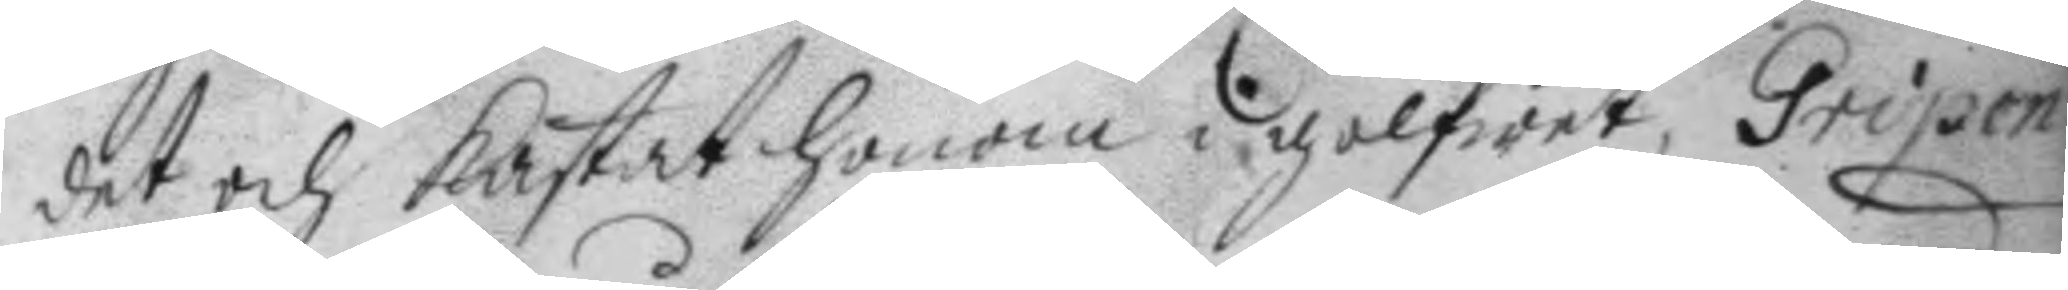det och kastat honom i golfwet, Gripen¬
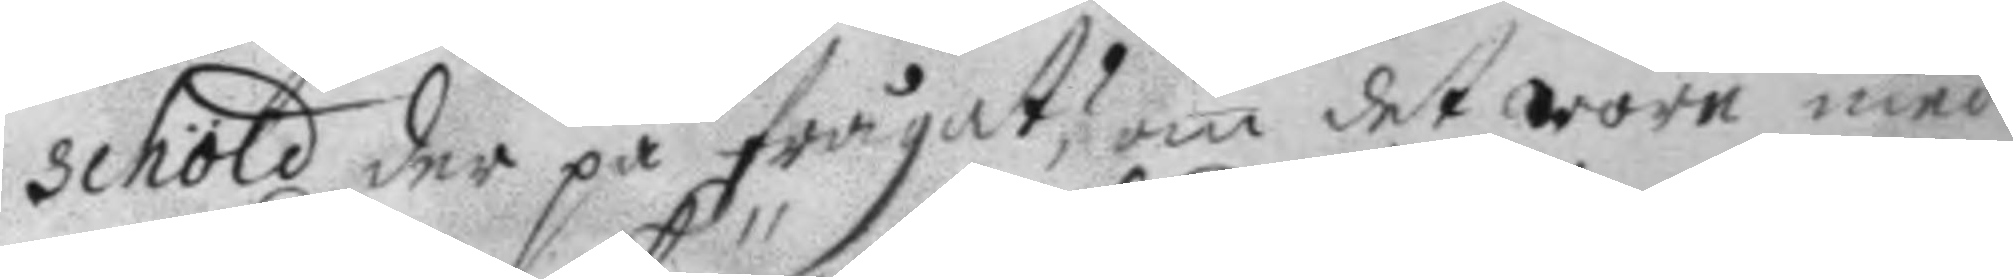schöld der på frågat? om det wore med
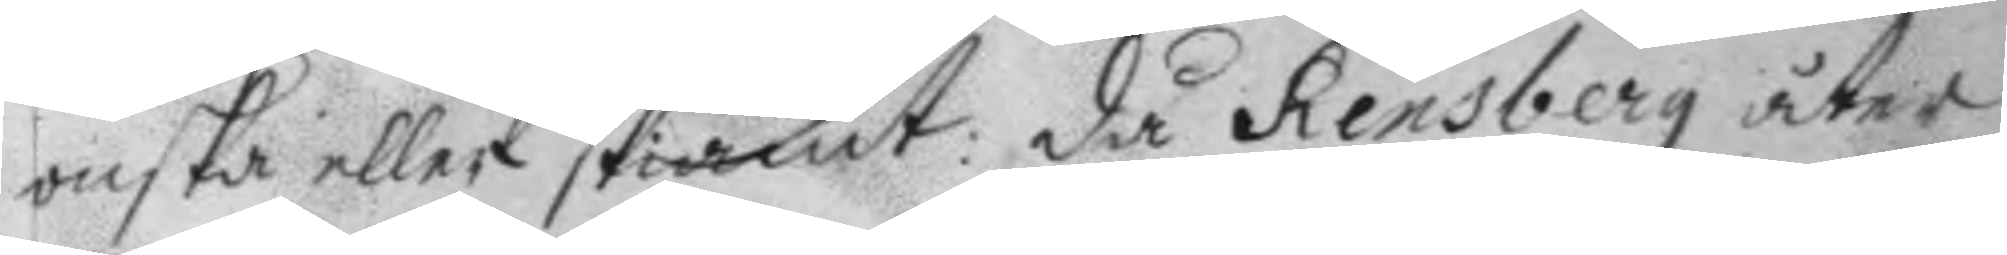onska eller skiämt: då Rensberg åter
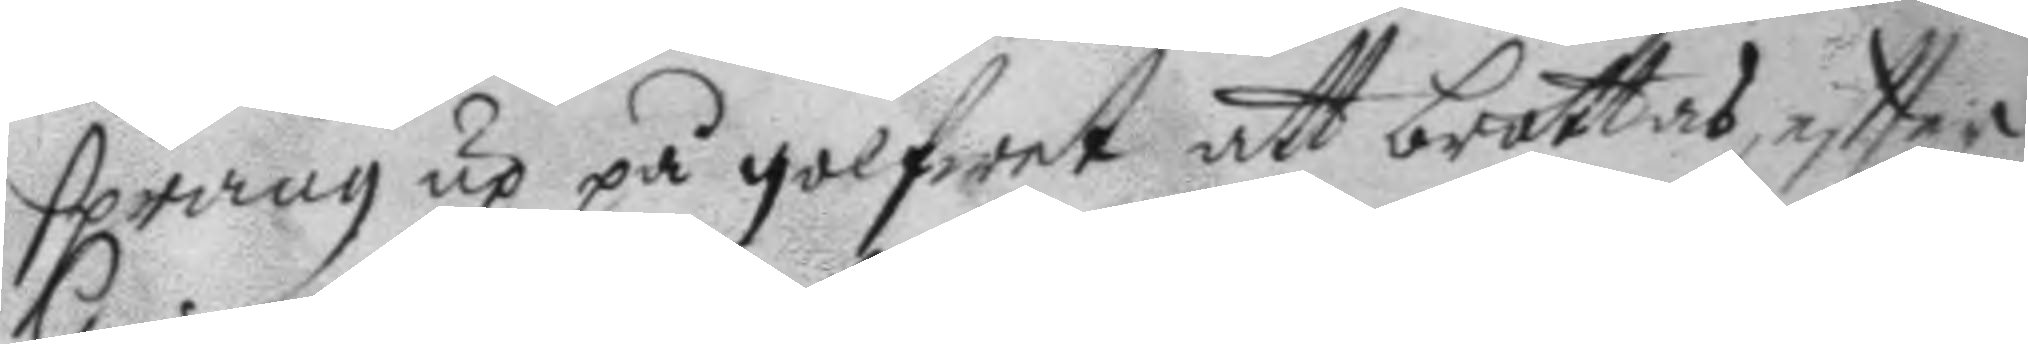sprang up på golfwet att brottas, eftter
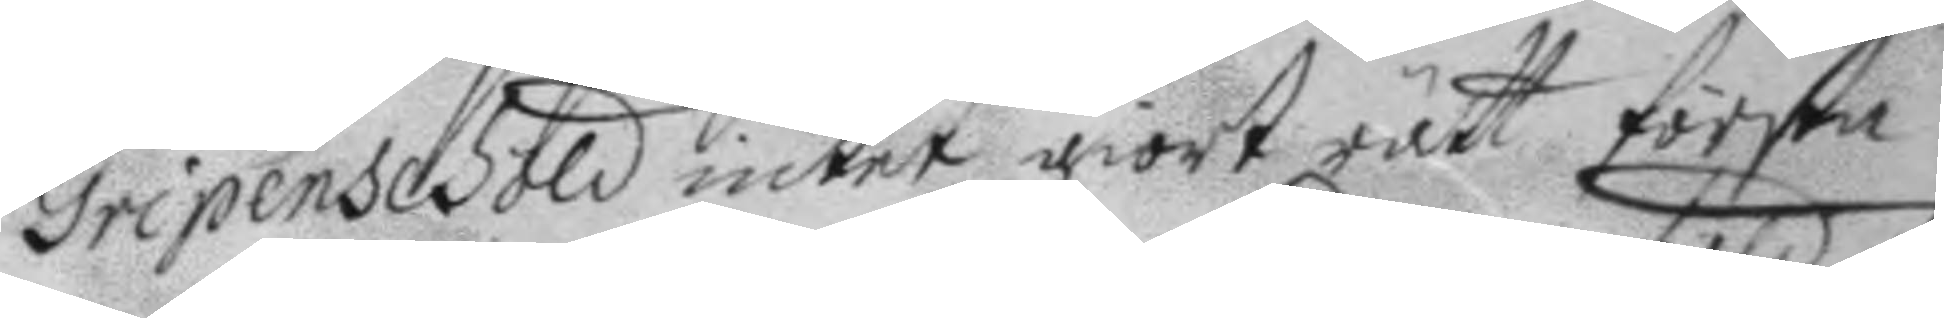Gripenschöld intet giort rätt första
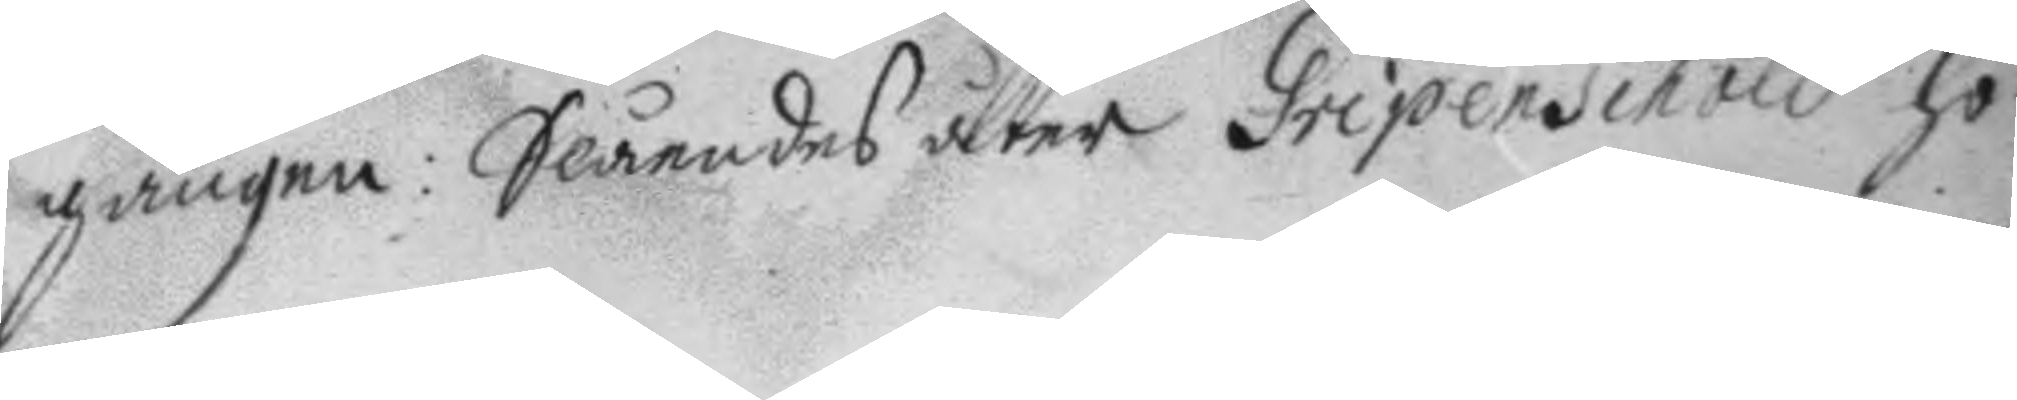gången: Slåendes åter Gripenschöld ho¬
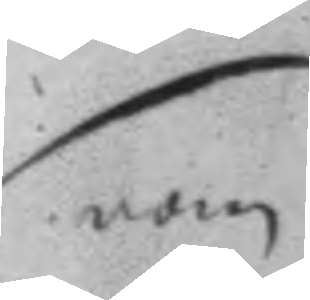nom
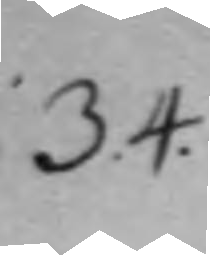34.
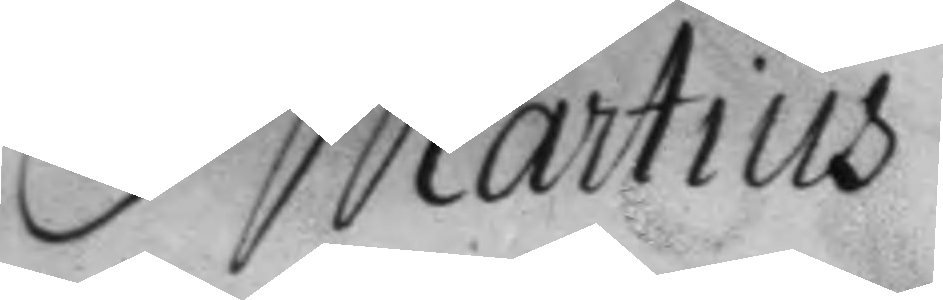Martius
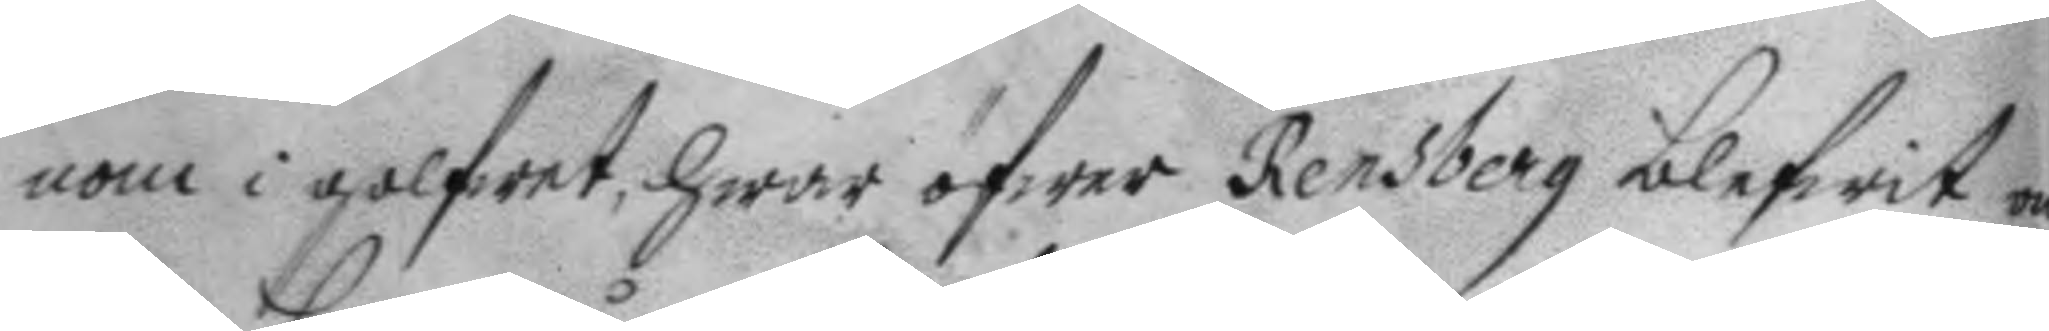nom i golfwet, hwar öfwer Rensberg blefwit on¬
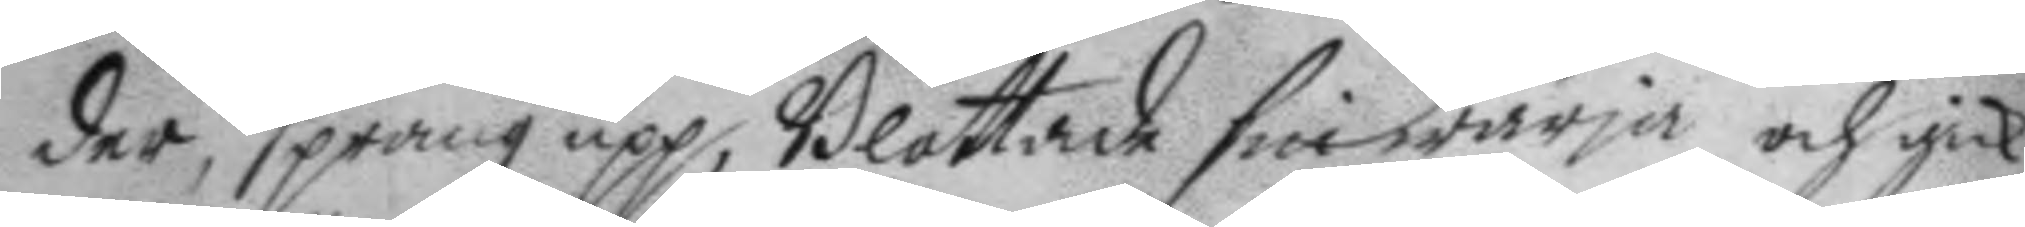der, sprang upp, Blottade sin wärja och gick
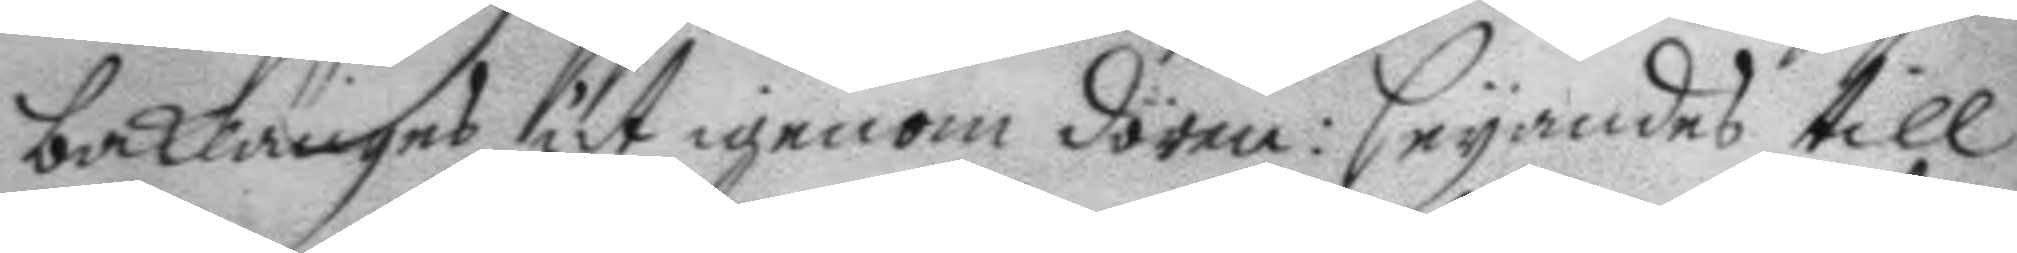baklänges ut genom dören: seyandes till
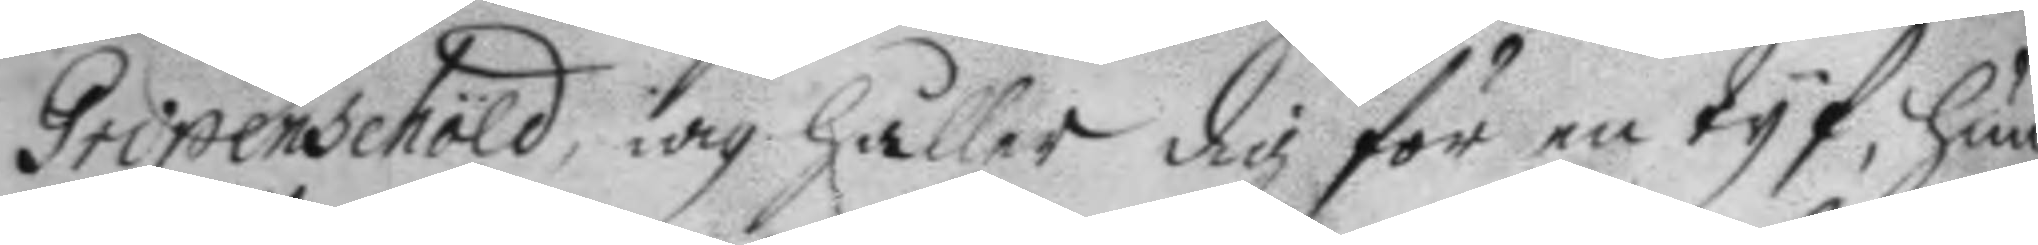Gripenschöld, iag håller dig för en tyf, hun¬
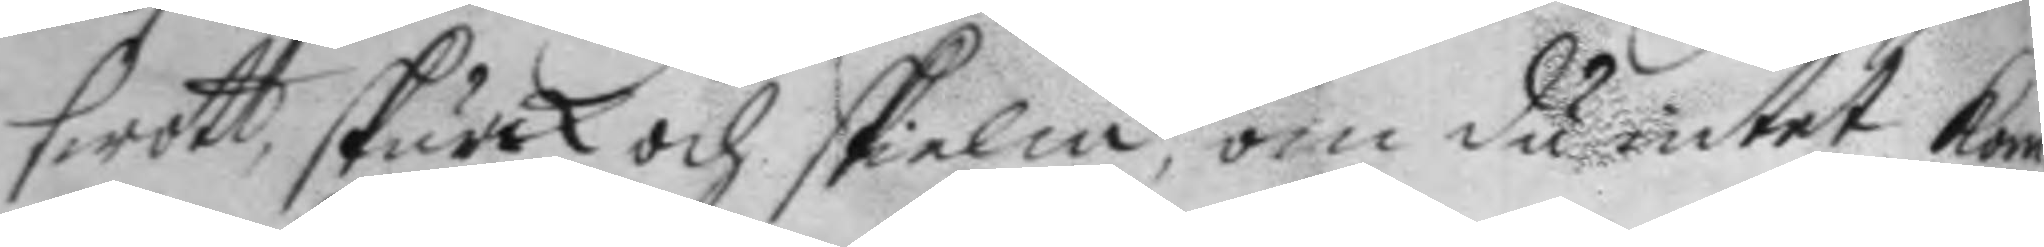swott, skurk och skielm, om du intet kom¬
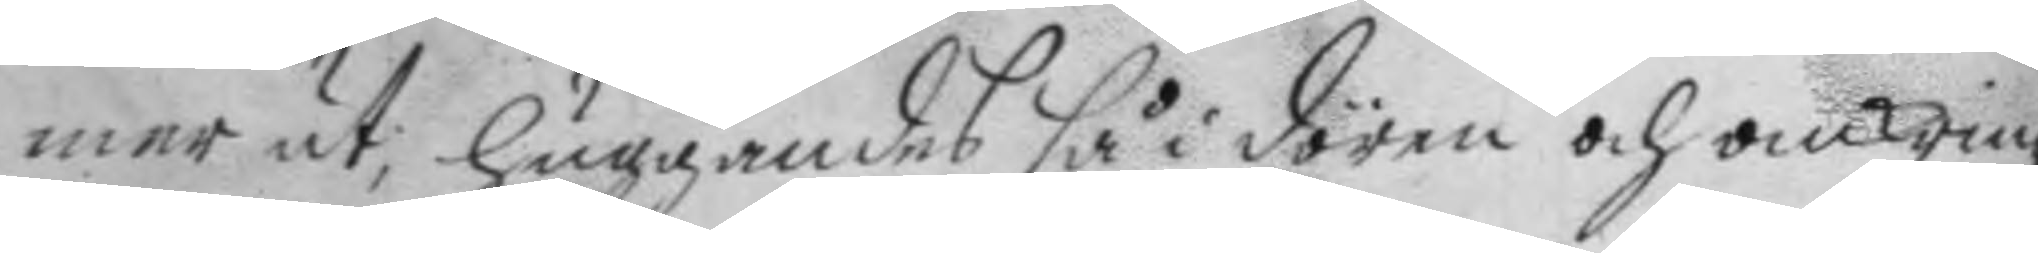mer ut; huggandes så i dören och omkring
